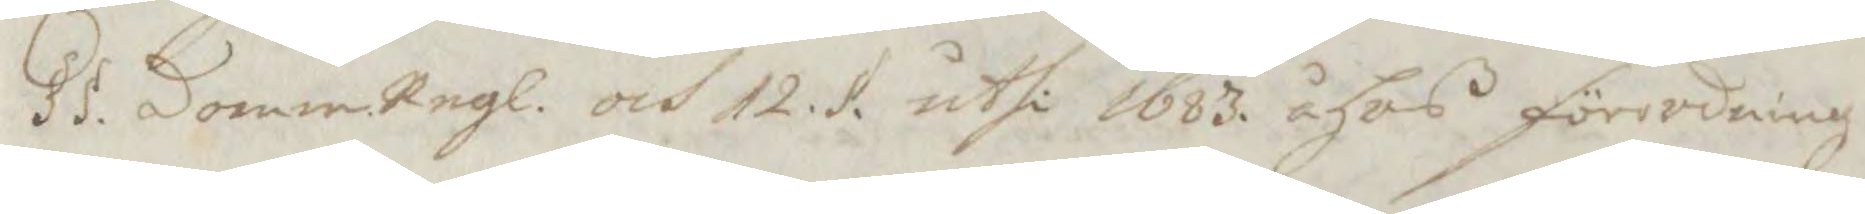§§ domm.Regl. och 12. § uthi 1683 åhrs förordning
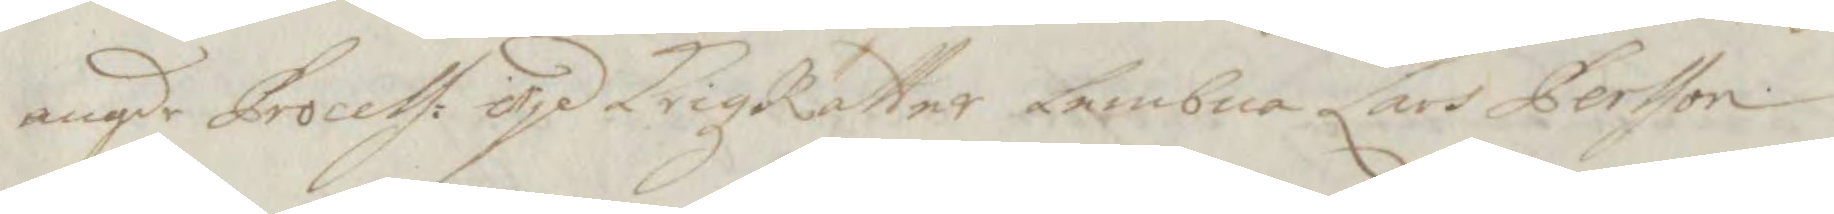angde Process: wid KrigzRätter Lembna Lars Persson
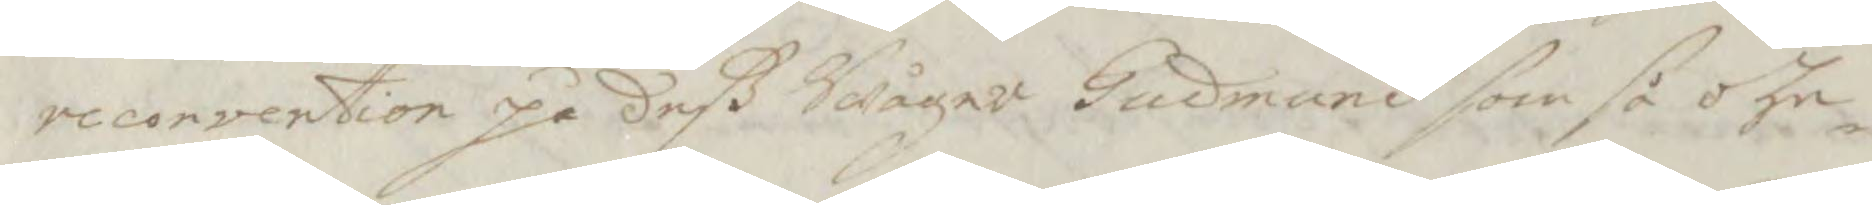recorvention på deß Swåger Gudmund som så ohe¬
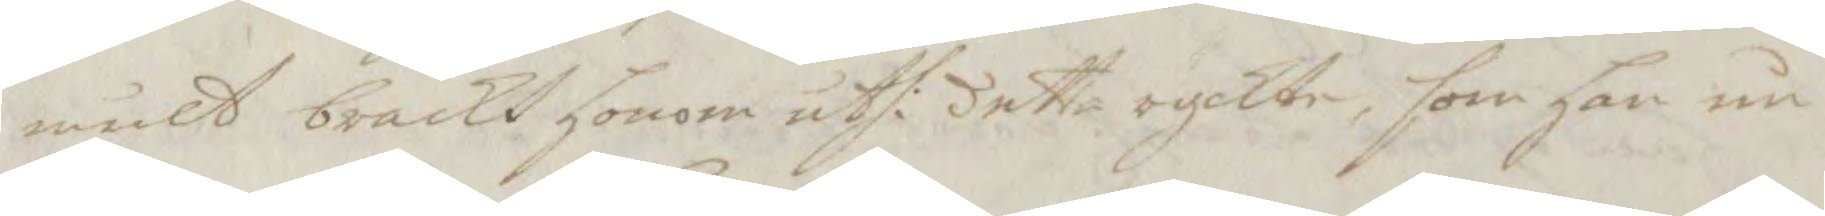mult brackt honom utfi detta ryckte, som han nu
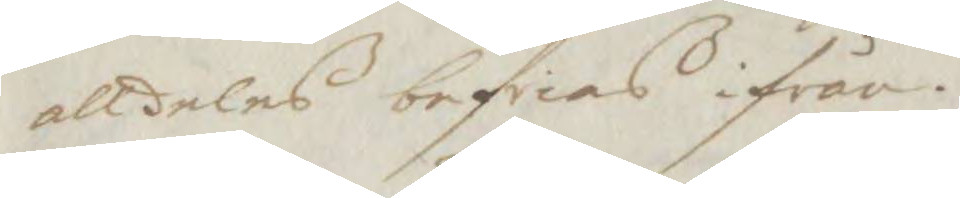alldeles befrias ifrån.
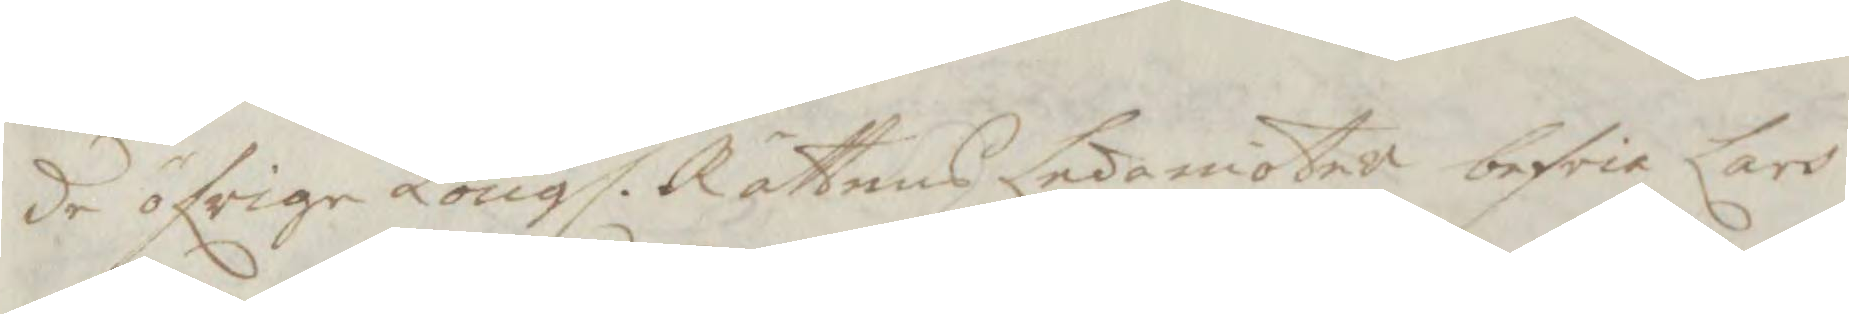de öfrige Kongl. Rättens Ledamöter befria Lars
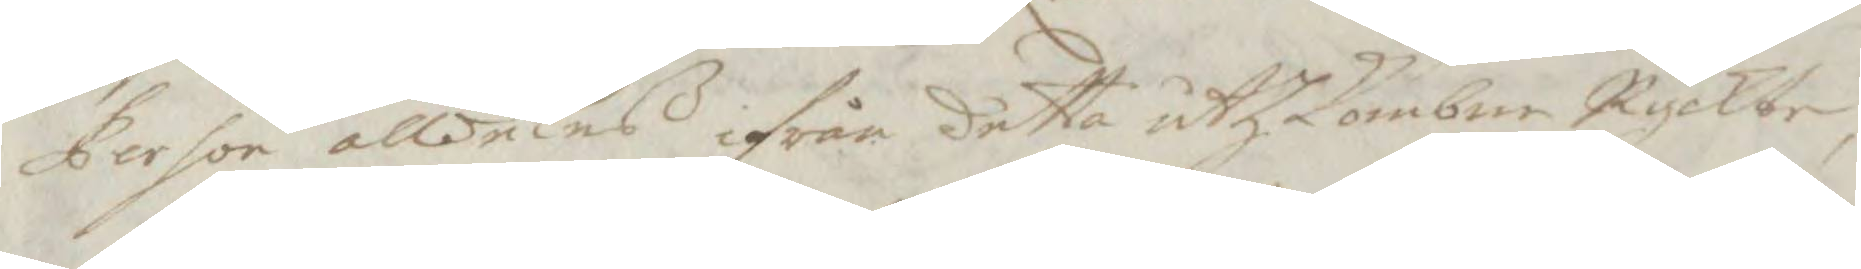Person alldeles ifrån detta uthkombne Ryckte,
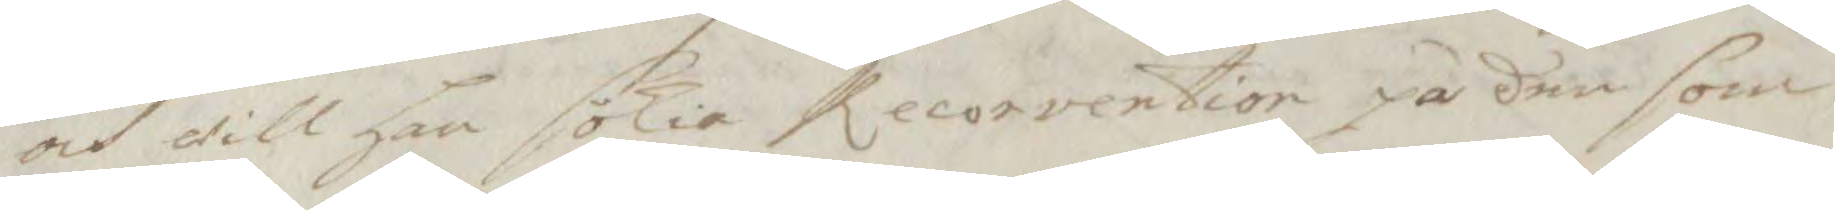och will han sökia Recorvention på den som
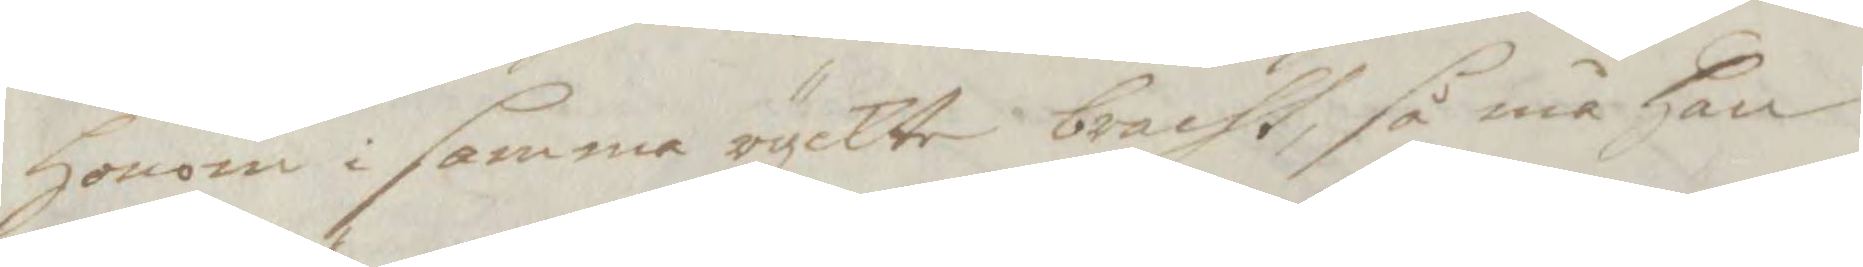honom i samma ryckte bracht, så må han
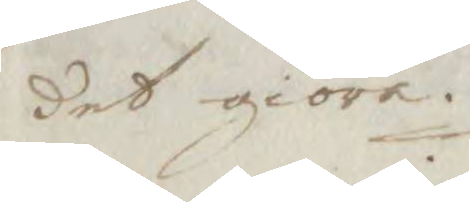det giöra.
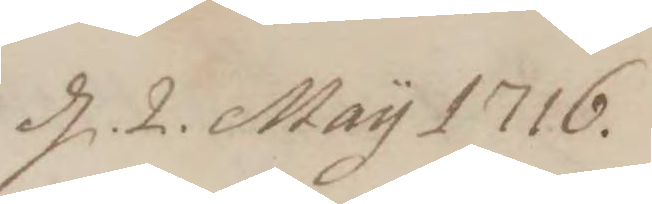d. 2. May 1716.
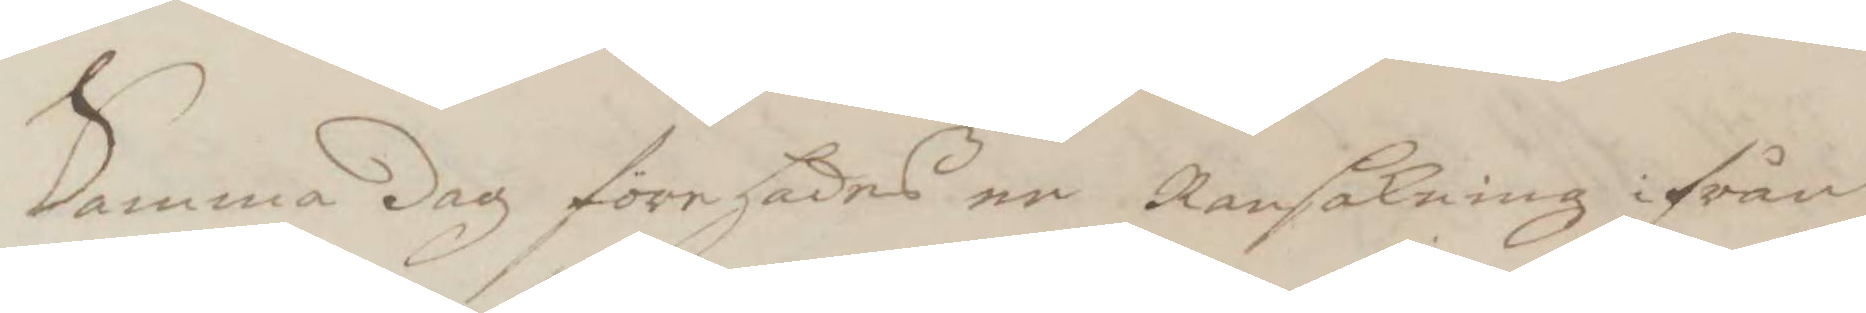Samma dag förehades en Ransakning ifrån
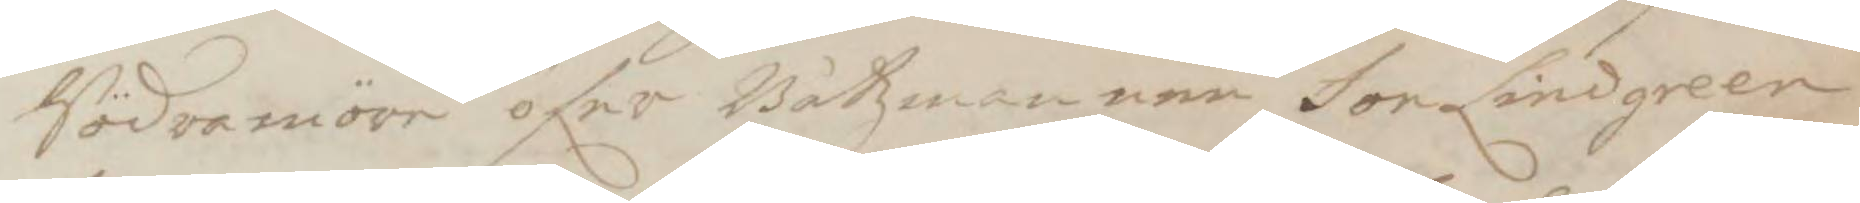Södramöre öfer Båtzmannen Jon Lindgreen
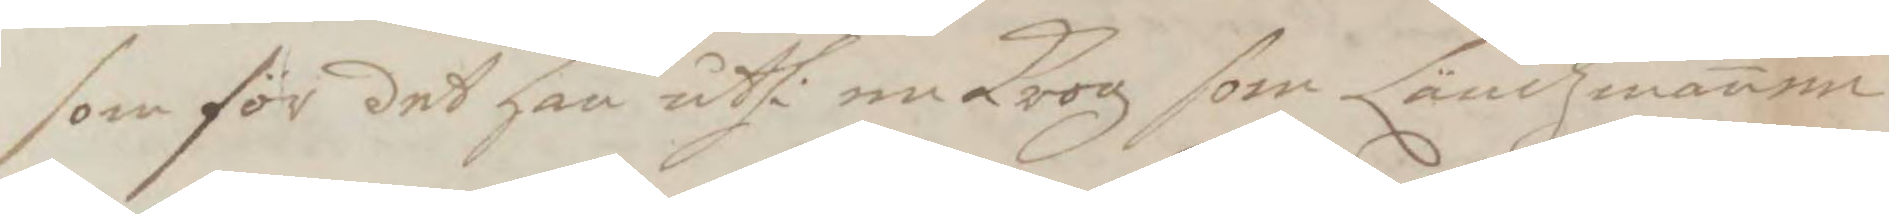som för det han uthi en Krog som Ländzmannen
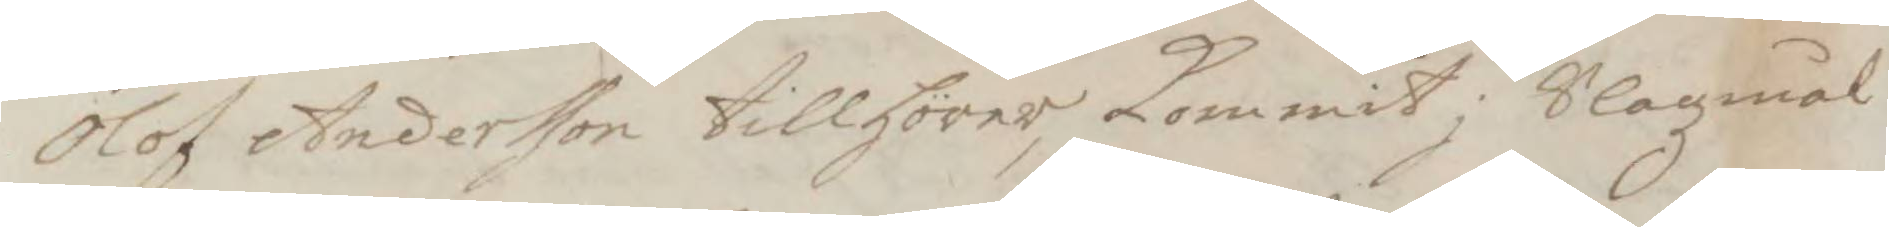Olof Andersson tillhörer, Kommit i Slagzmål
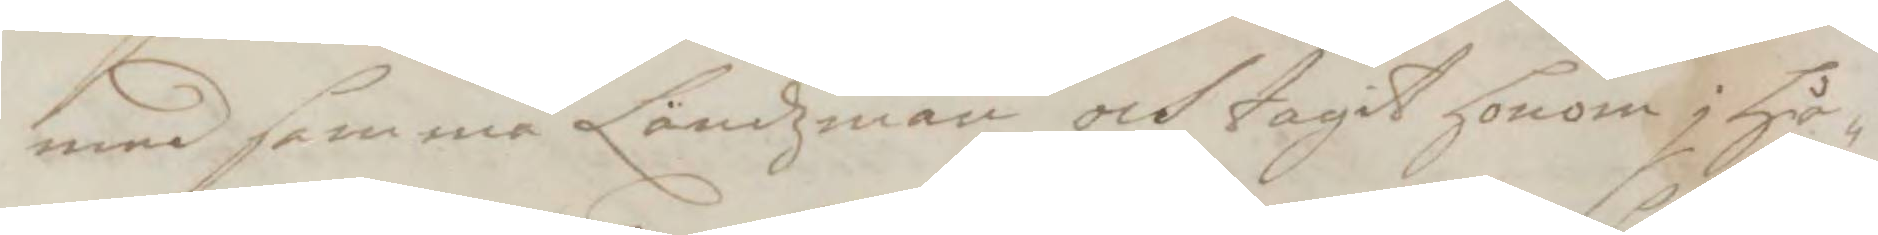med samma Ländzman och tagit honom i hå¬
